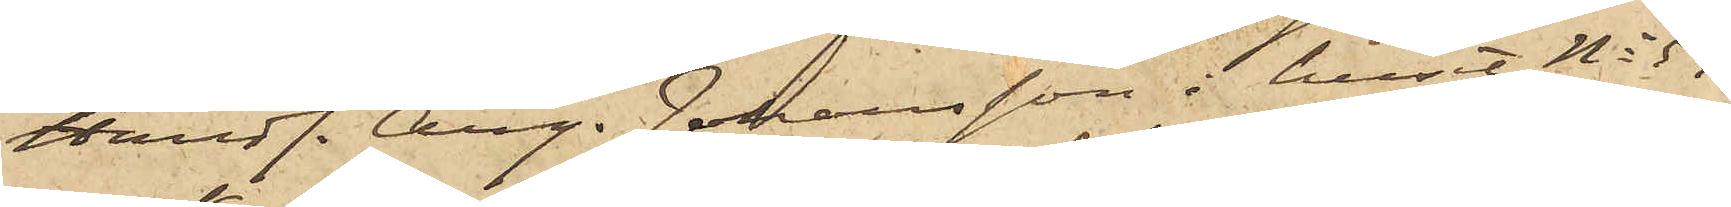Handl. Aug. Johansson i huset No 59
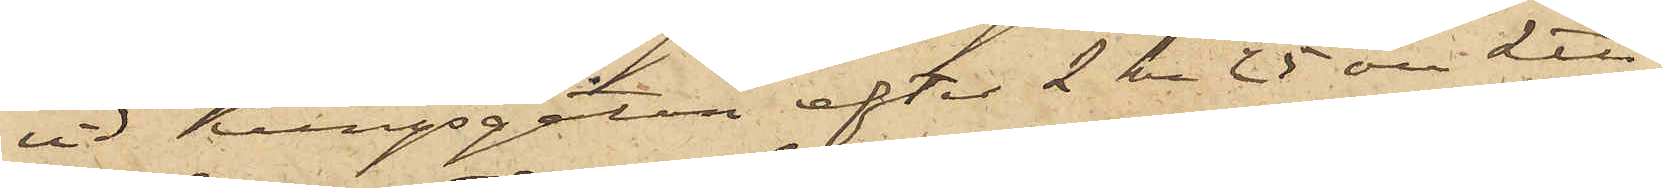vid Kungsgatan efter 2 kr 25 öre L℔,
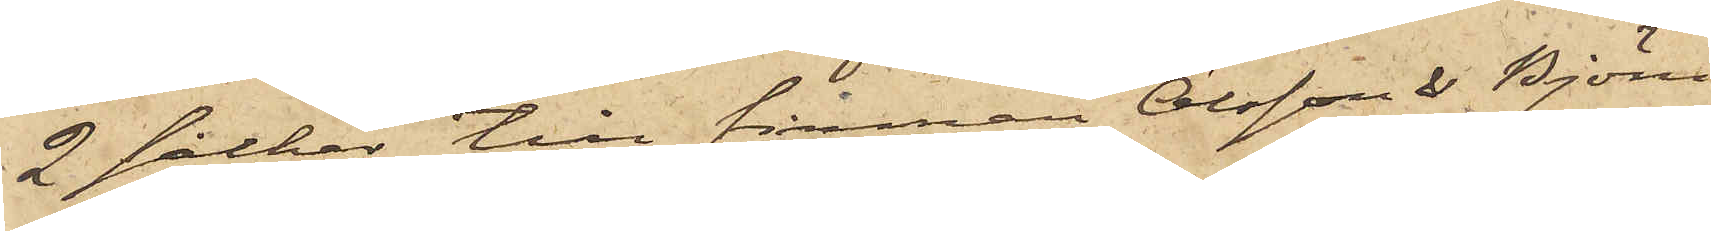2 säckar till firman Olsson & Björn
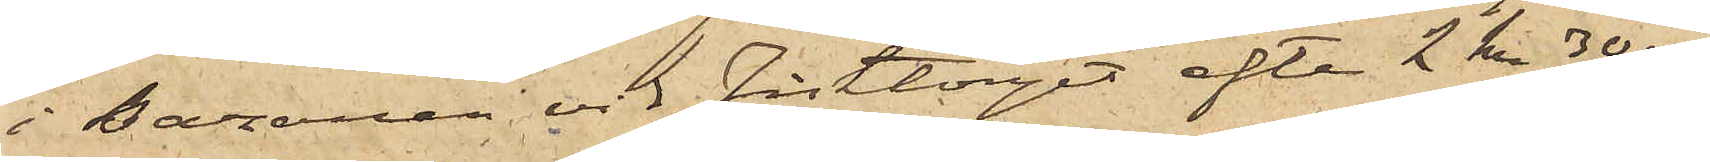i Bazaren vid Fisktorget efter 2 kr 30 öre
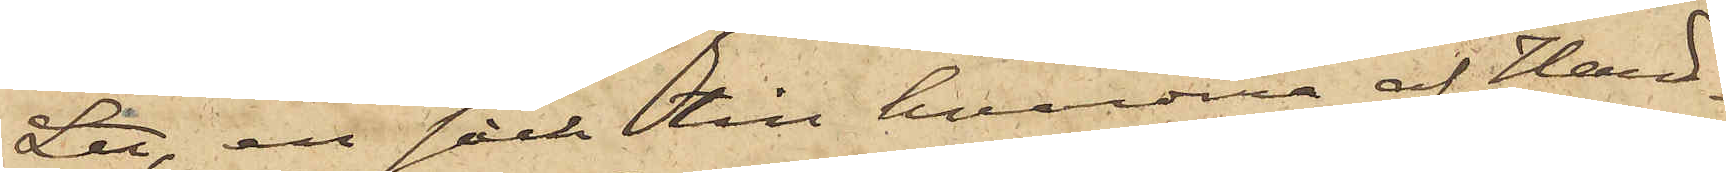L℔, en säck till hvardera af Hand¬
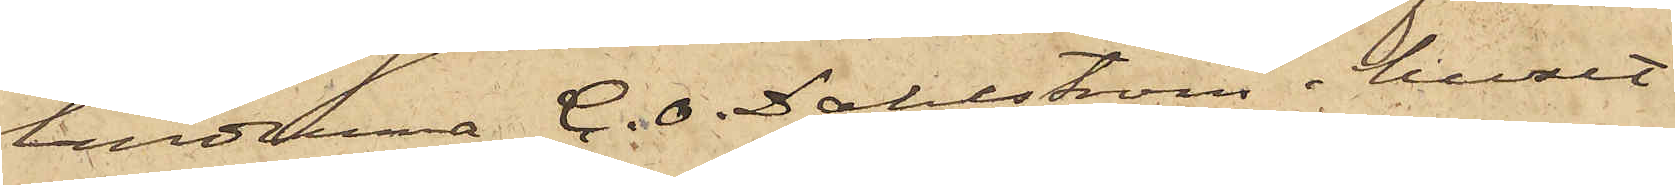landena C. O. Dahlström i huset
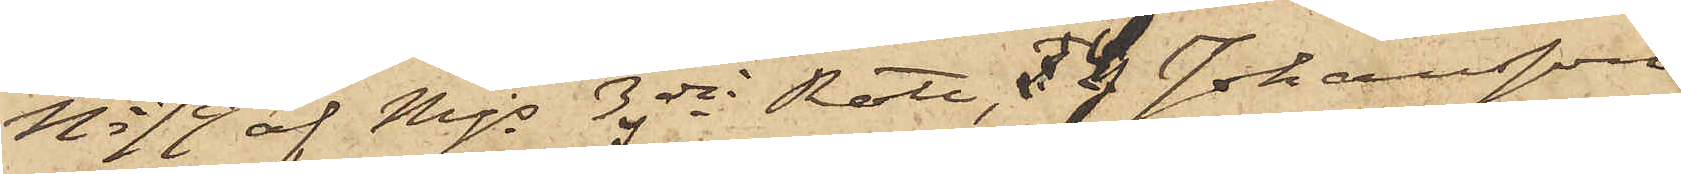No 79 af Mjs 3dje Rote, G. Johansson
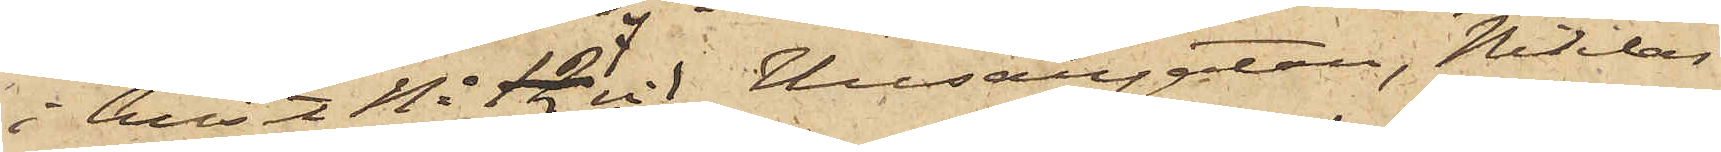i huset No 7 vid Husargatan, Niklas
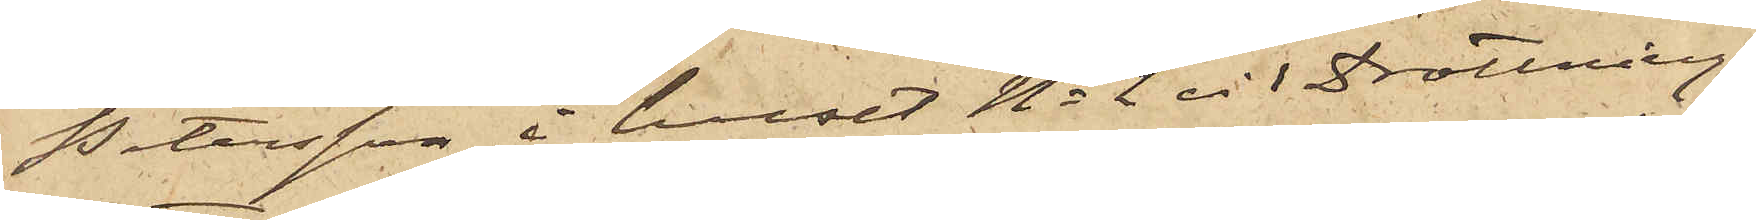Petersson i huset No 2 vid Drottning¬
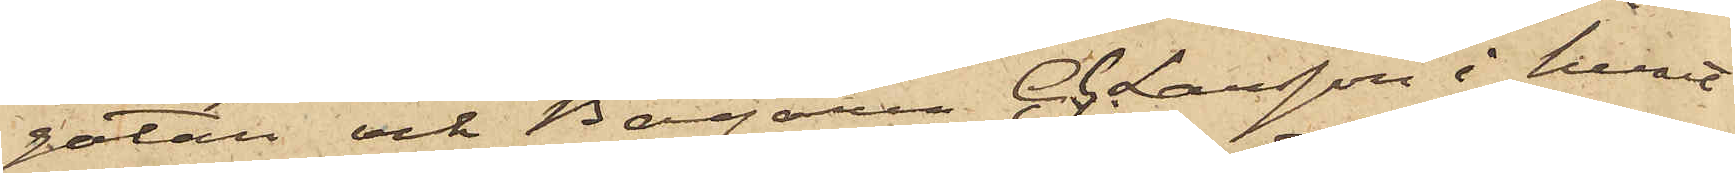gatan och Bagaren C. G. Larsson i huset
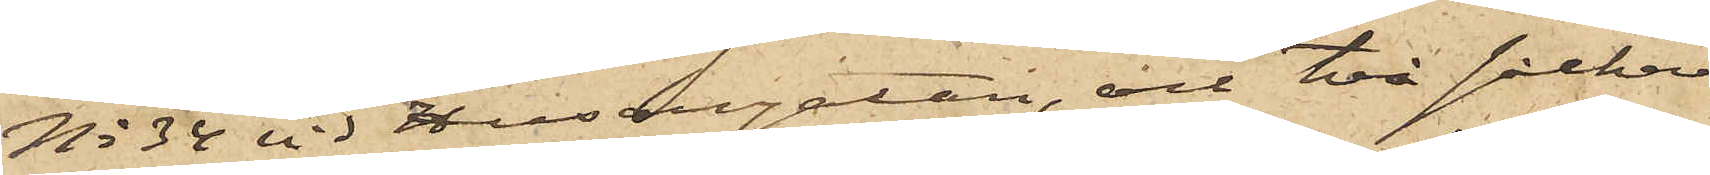No 34 vid Husargatan, och två säckar
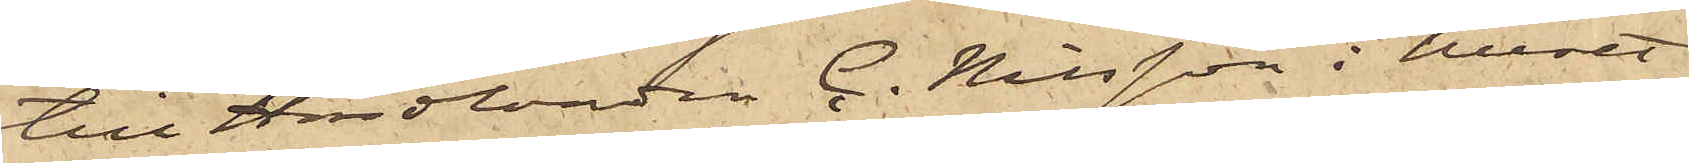till Handlanden C. Nilsson i huset
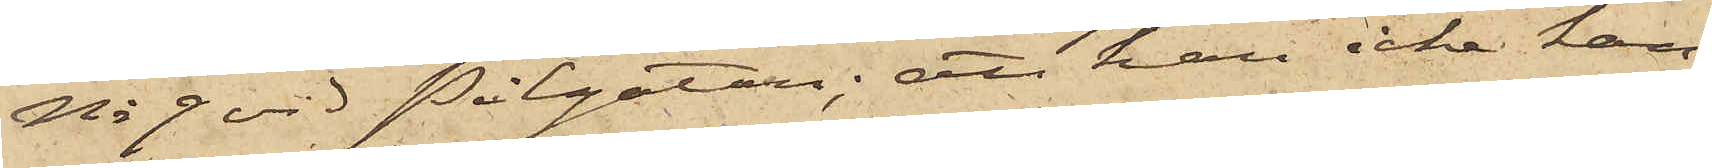No 9 vid Pilgatan; att han icke kan
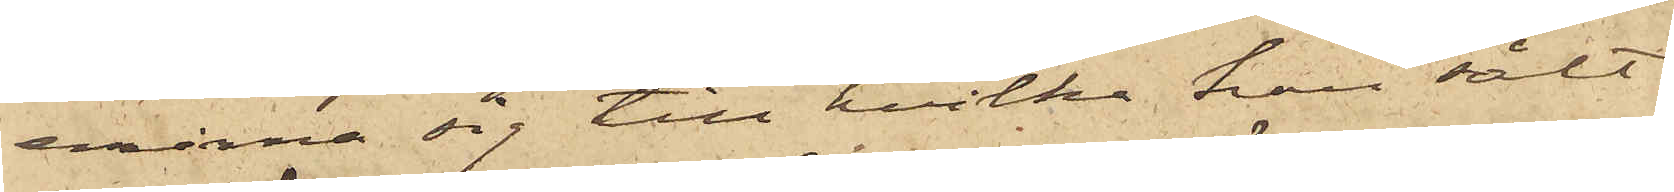erinra sig till hvilka han sålt
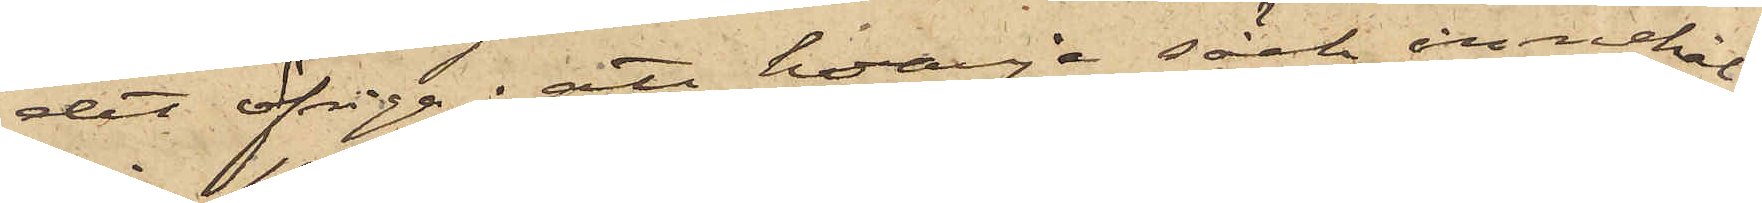det öfriga; att hvarje säck innehål¬
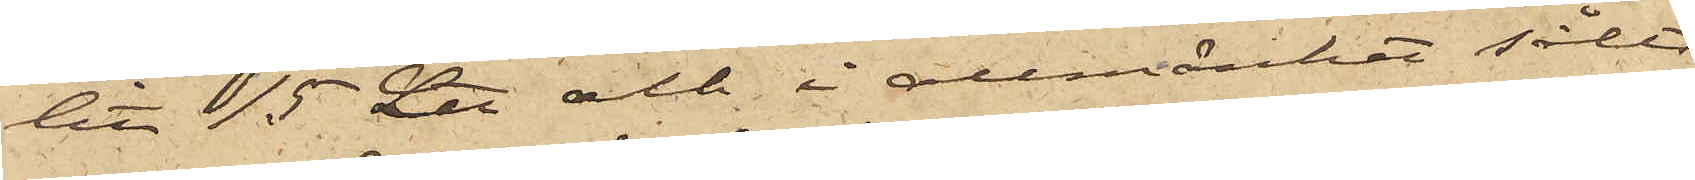lit 15 L℔ och i allmänhet sålts
